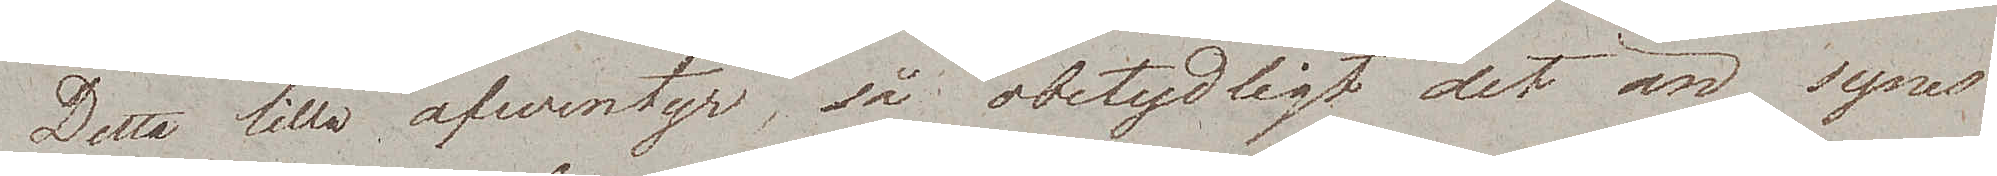Detta lilla äfwentyr, så obetydligt det än synes
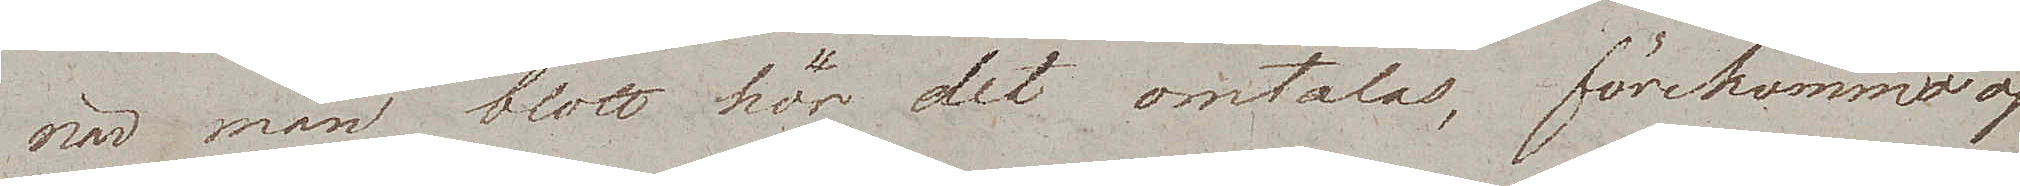när man blott hör det omtalas, förekommo oss
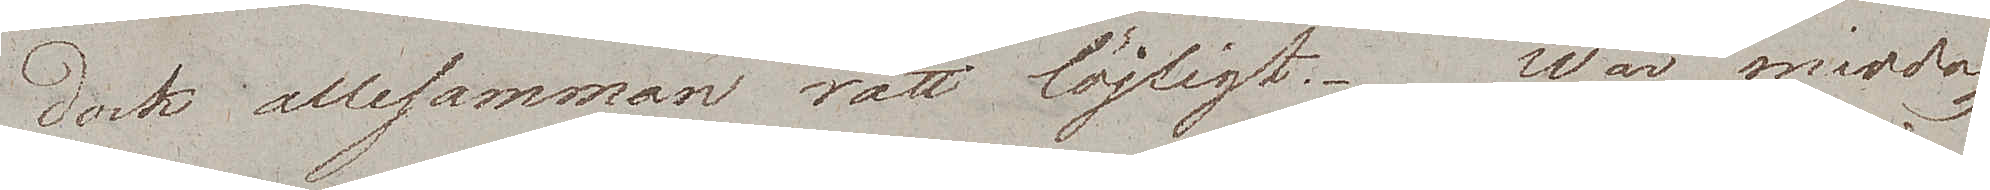dock allesamman rätt löjligt. Wår middag
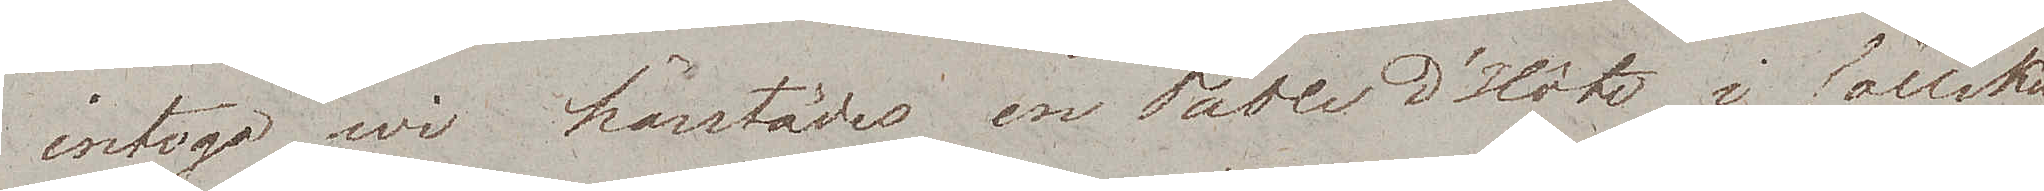intogo wi härstädes en Table d'Hôte i sällskap
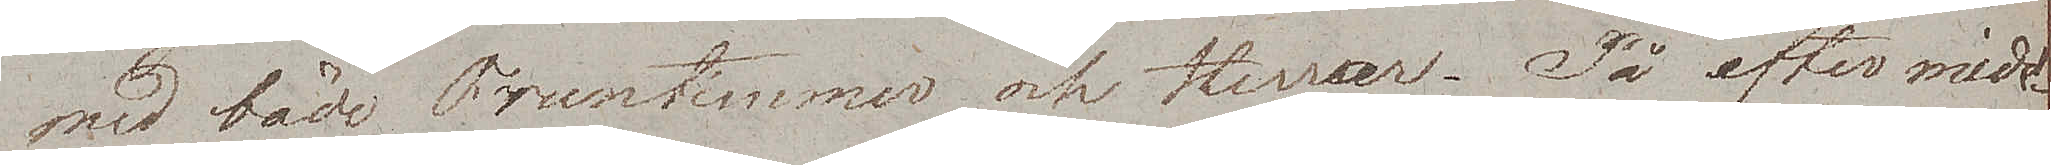med både Fruntimmer och Herrar. På eftermid¬
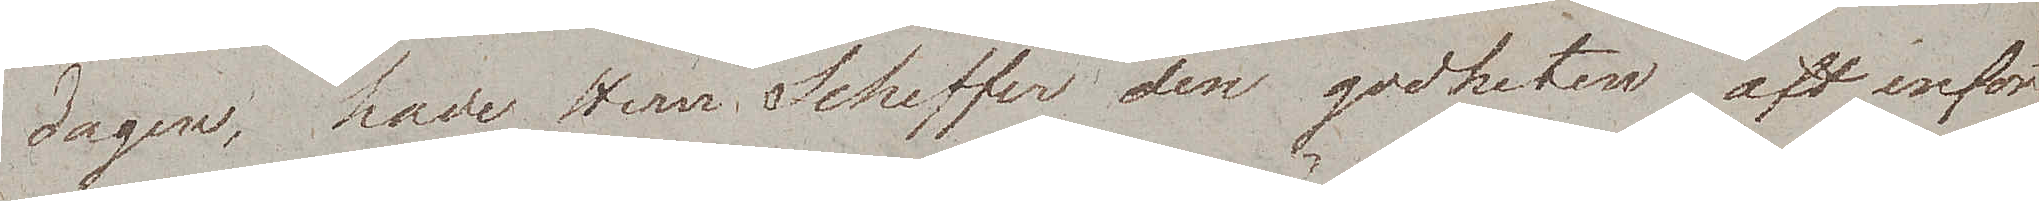dagen, hade Herr Scheffer den godheten att införa
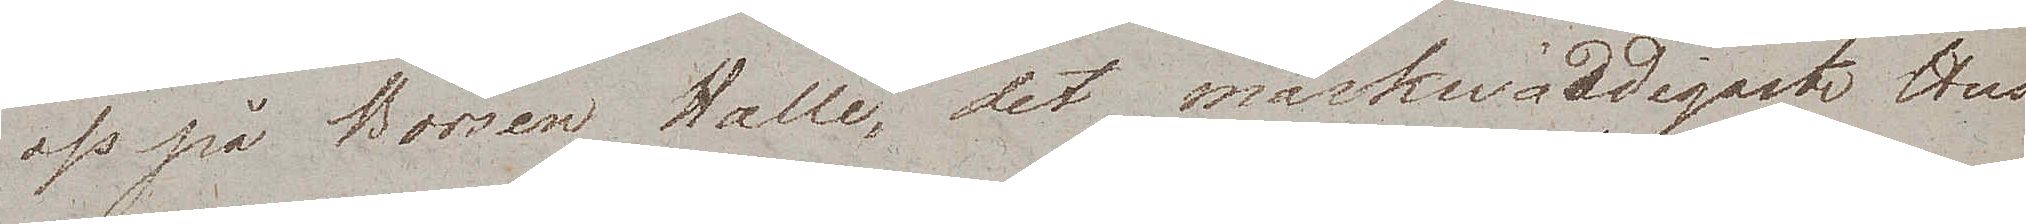oss på Börsen Halle, det märkwärdigaste Hus
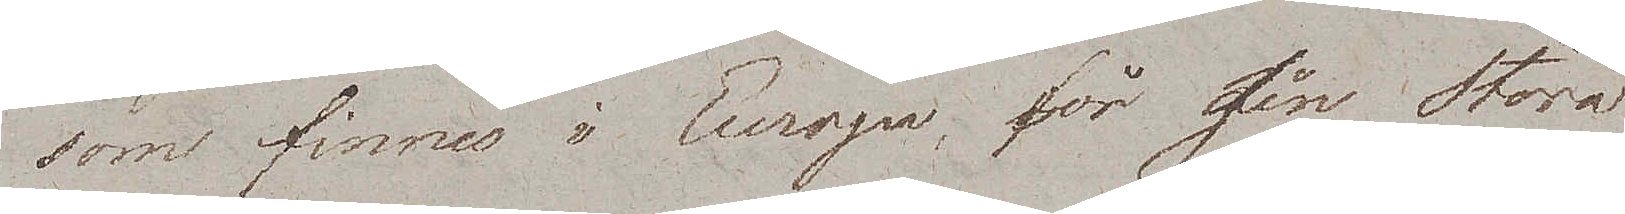som finns i Europa, för sin Stora
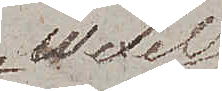Wexel
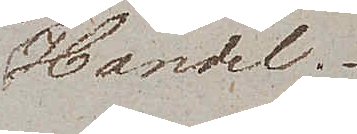Handel.
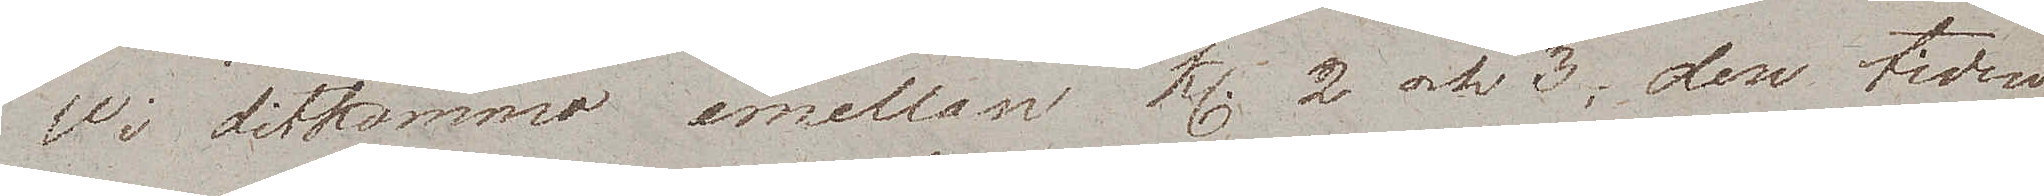Wi ditkommo emellan kl. 2 och 3, den tiden
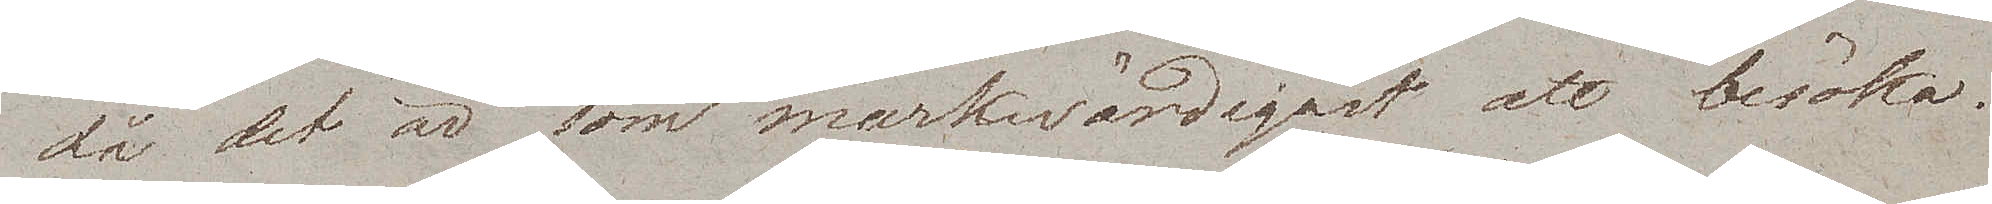då det är som märkwärdigast att besöka.
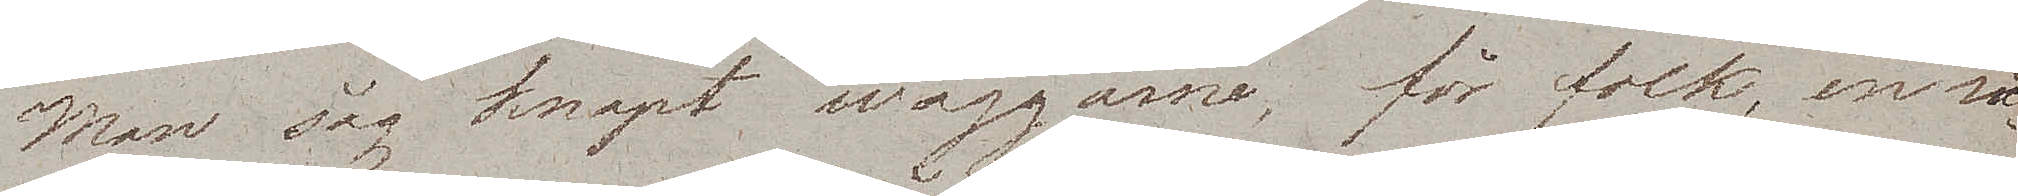Man såg knapt wäggarne, för folk, en så¬
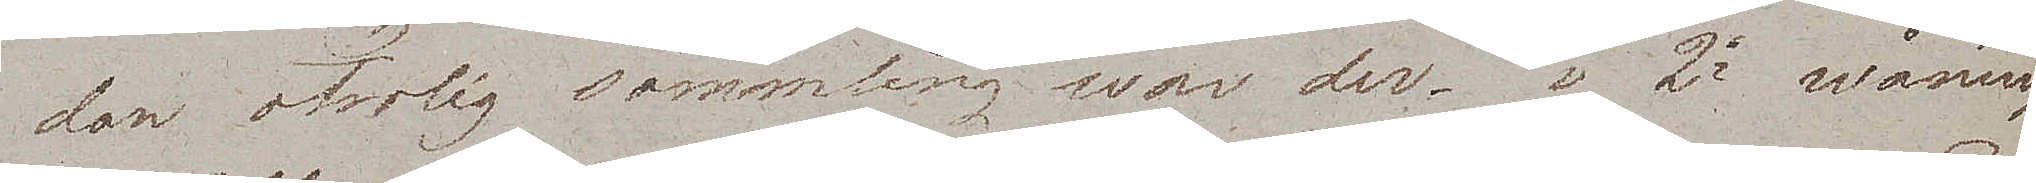den otrolig sammling war der. i 2e wåningen
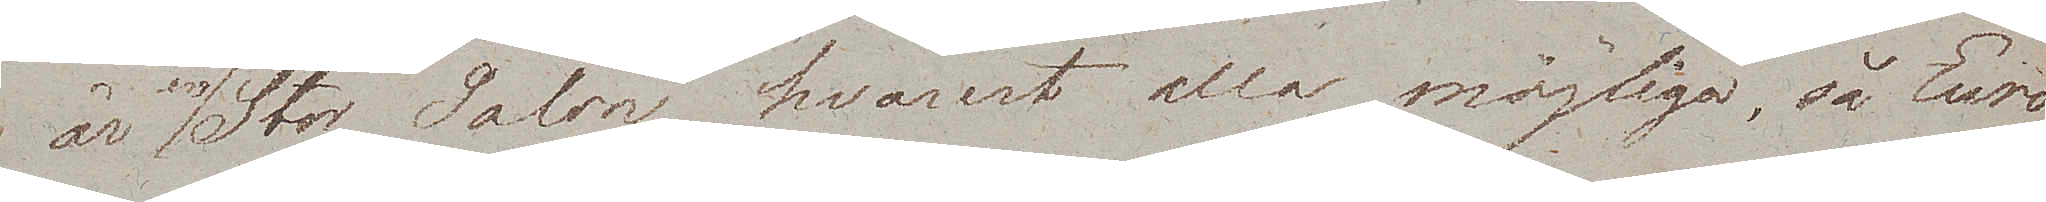är en Stor Salon, hvarest alla möjliga, så Euro¬
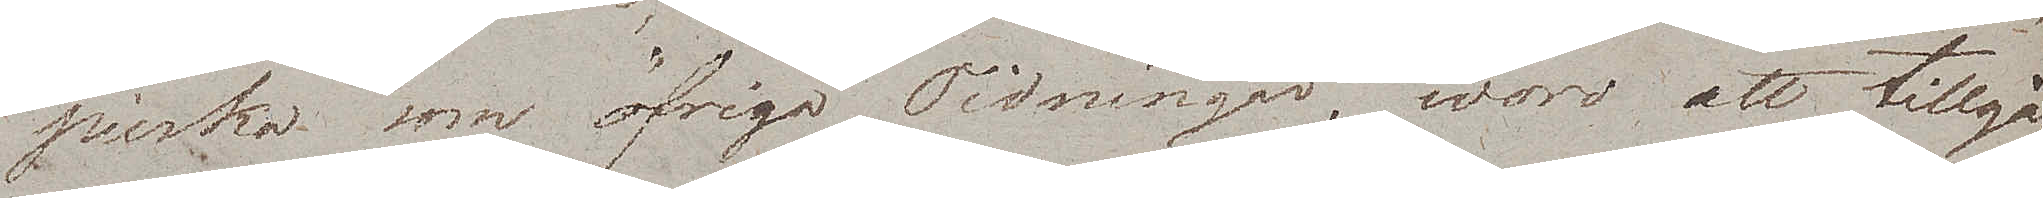peiska som öfriga Tidningar, woro att tillgå.
